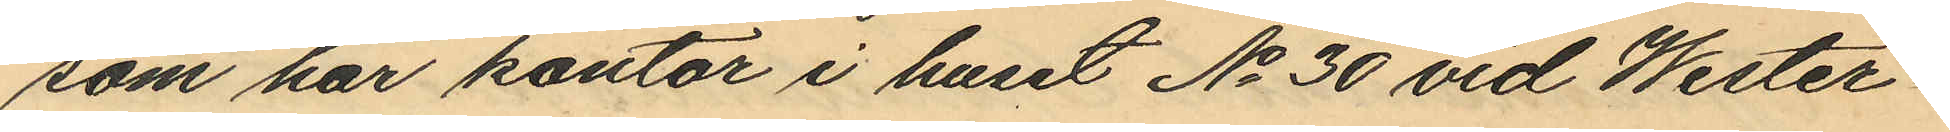som har kontor i huset No 30 vid Wester¬
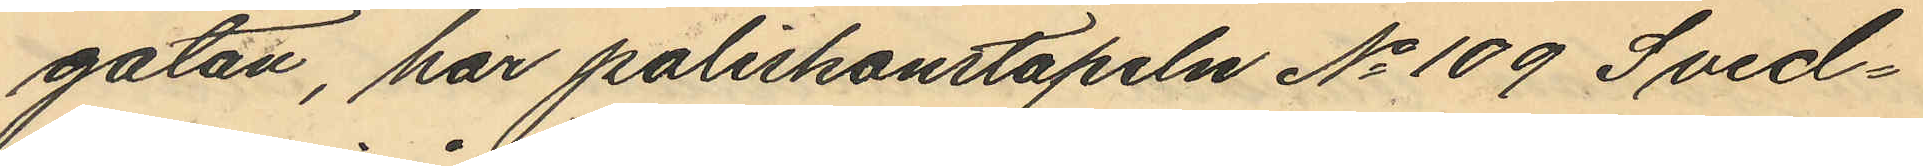gatan, har poliskonstapeln No 109 Sved¬
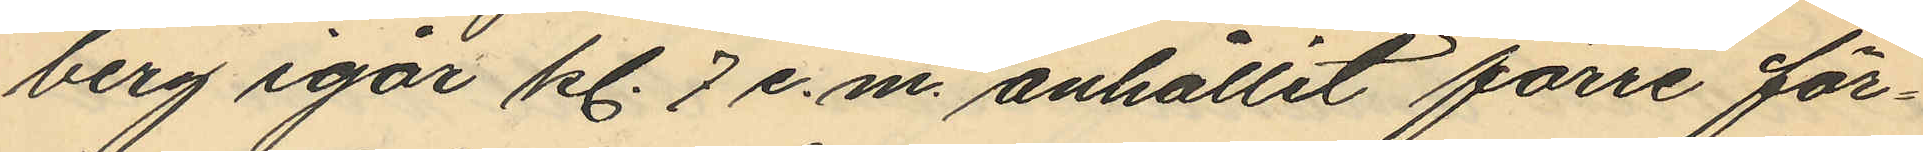berg igår kl. 7 e.m. anhållit förre för¬
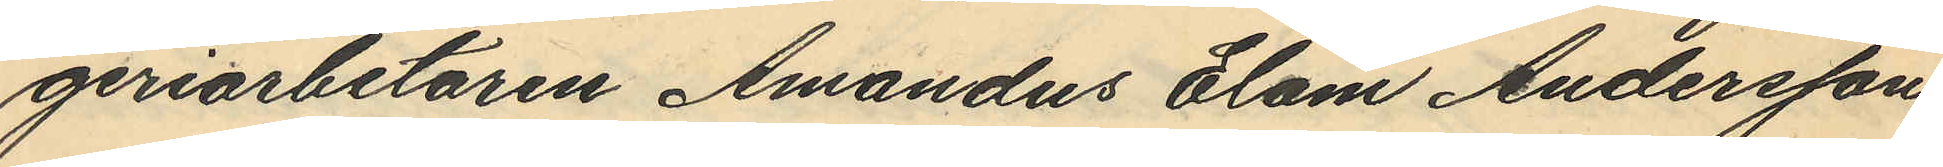geriarbetaren Amandus Elam Andersson
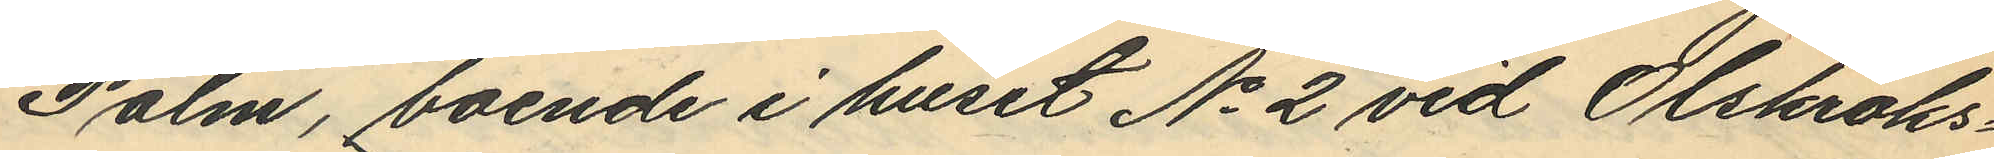Palm, boende i huset No 2 vid Olskroks¬
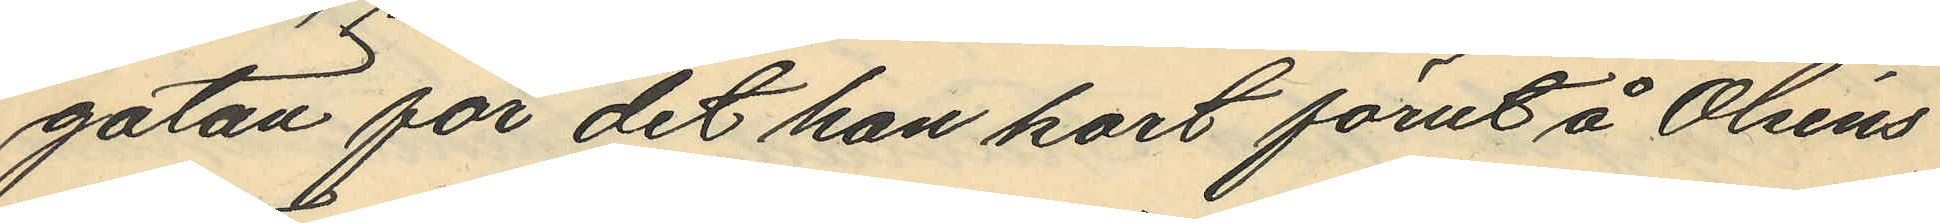gatan för det han kort förut å Olséns
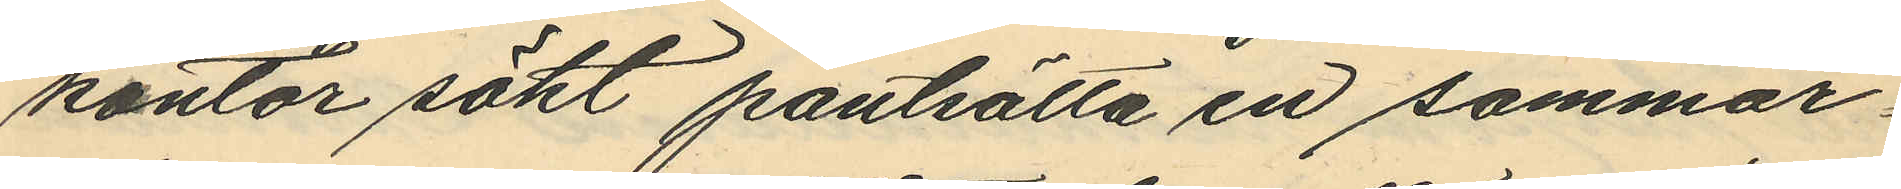kontor sökt pantsätta en sommar¬
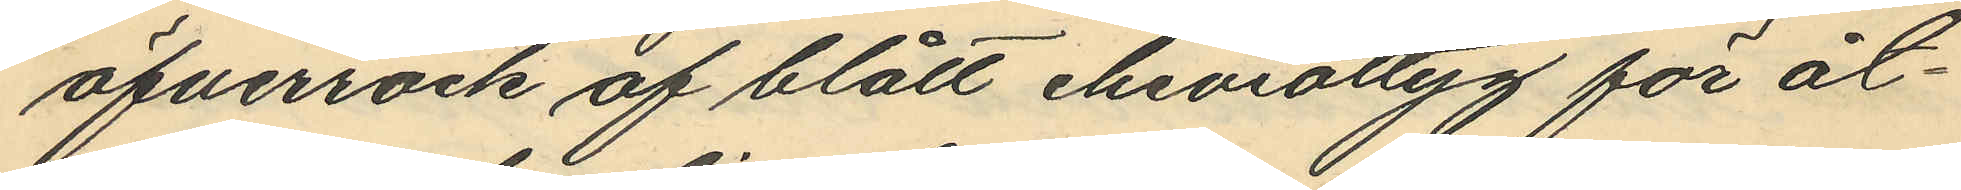öfverrock af blått cheviottyg för åt¬
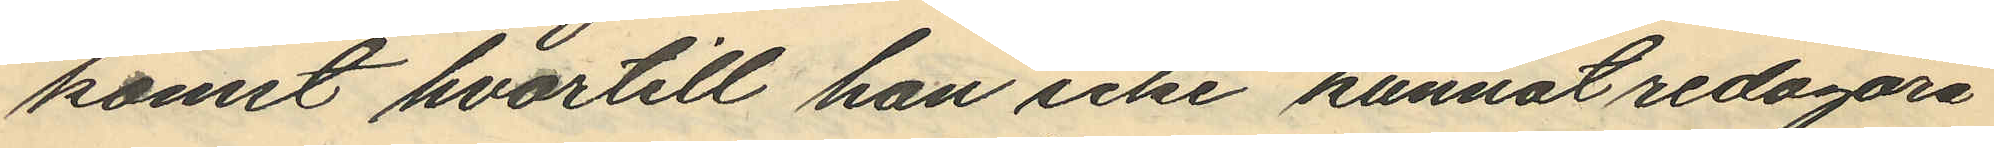komst hvartill han icke kunnat redogöra.
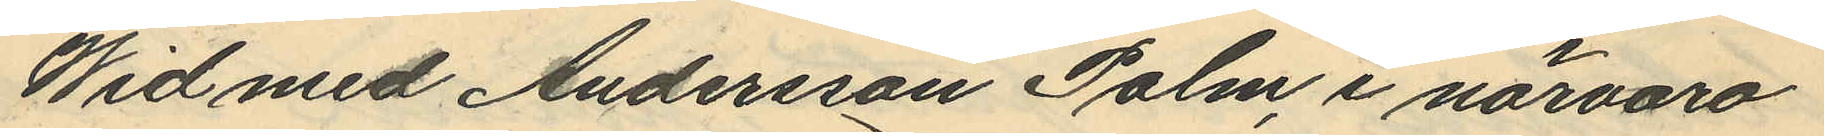Wid med Andersson Palm, i närvaro
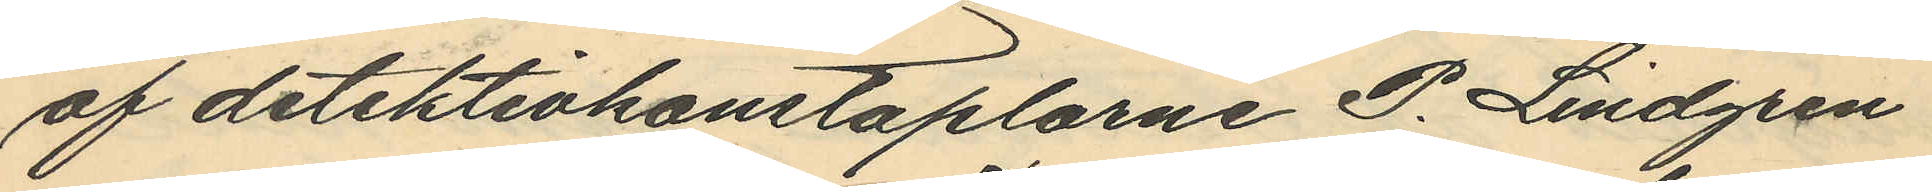af detektivkonstaplarne P. Lindgren
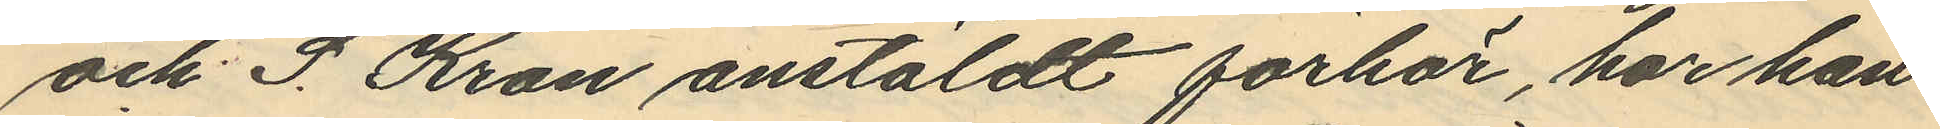och S. Kron anstäldt förhör, har han
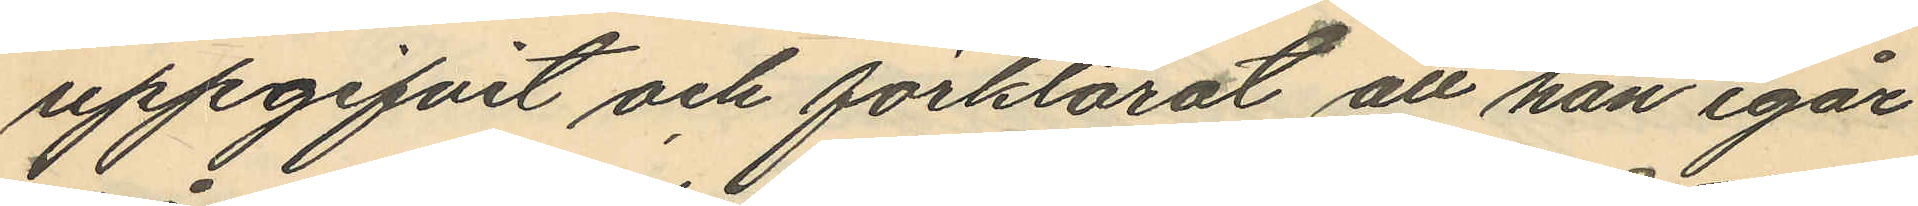uppgifvit och förklarat att han igår
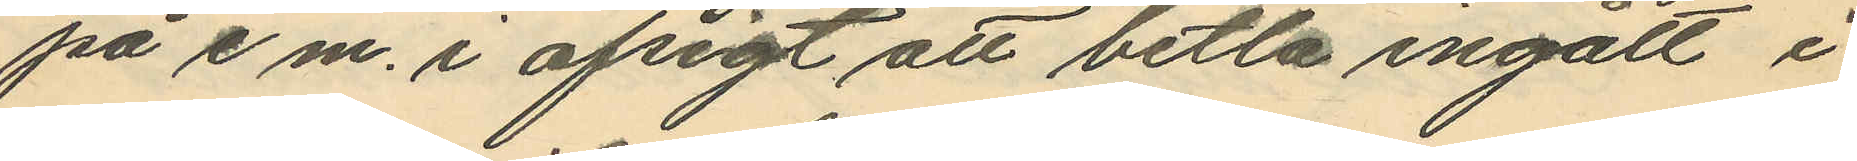på e.m. i afsigt att betla ingått i
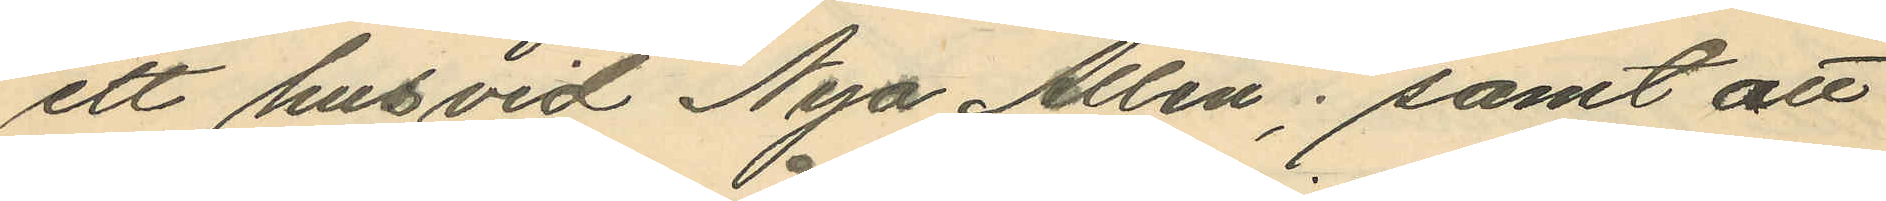ett hus vid Nya Allén; samt att
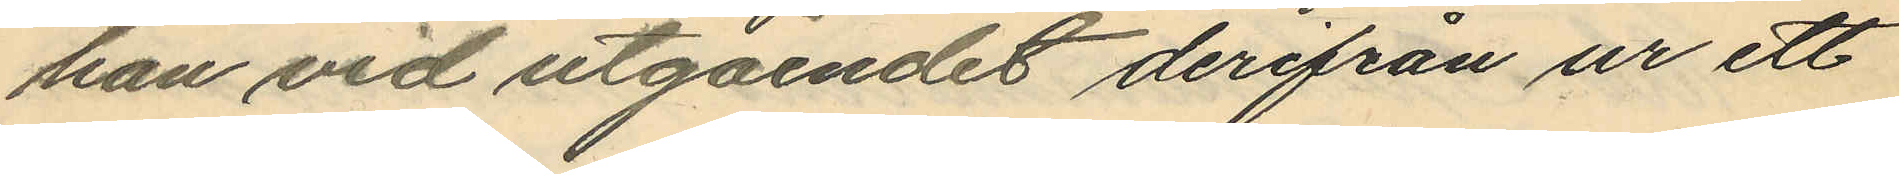han vid utgåendet derifrån ur ett
